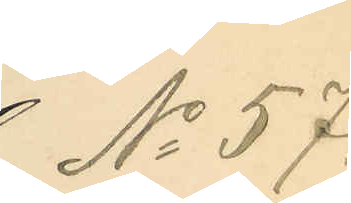No 57.
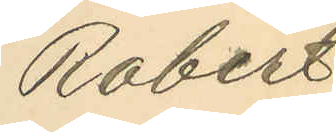Robert
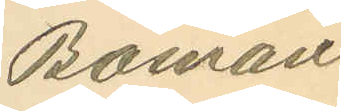Boman
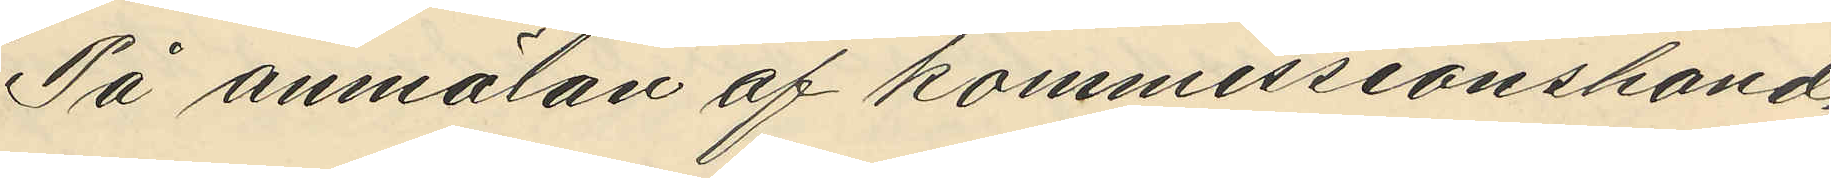På anmälan af kommissionshand¬
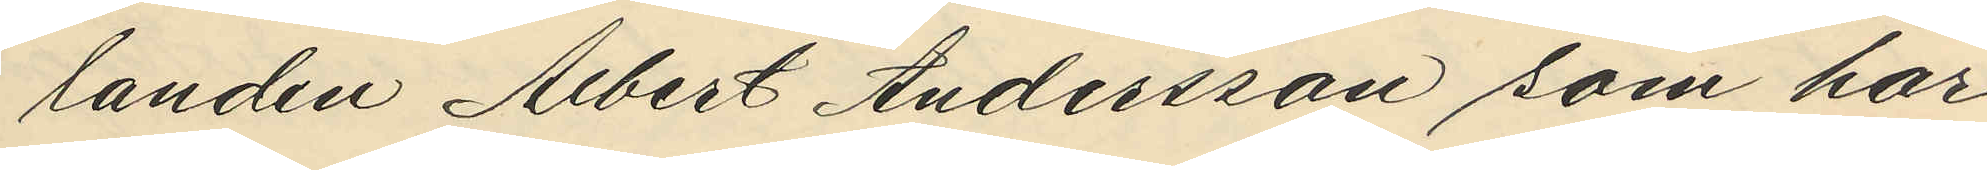landen Albert Andersson som har
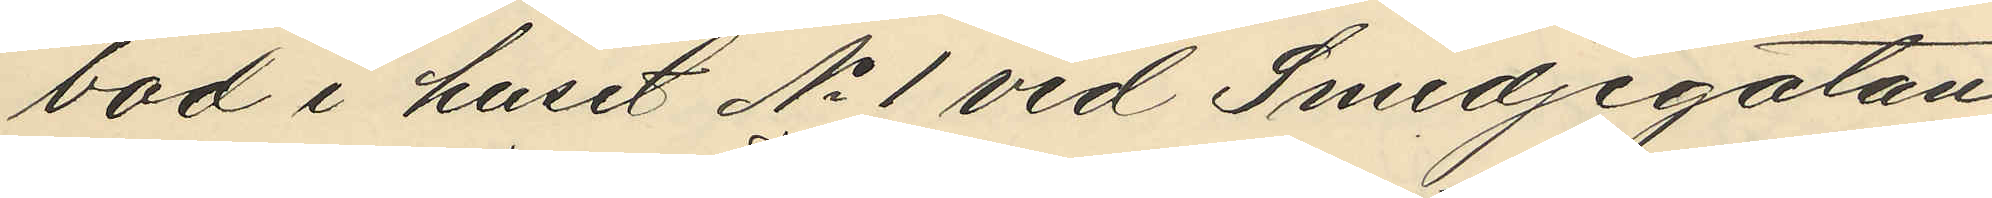bod i huset No 1 vid Smedjegatan
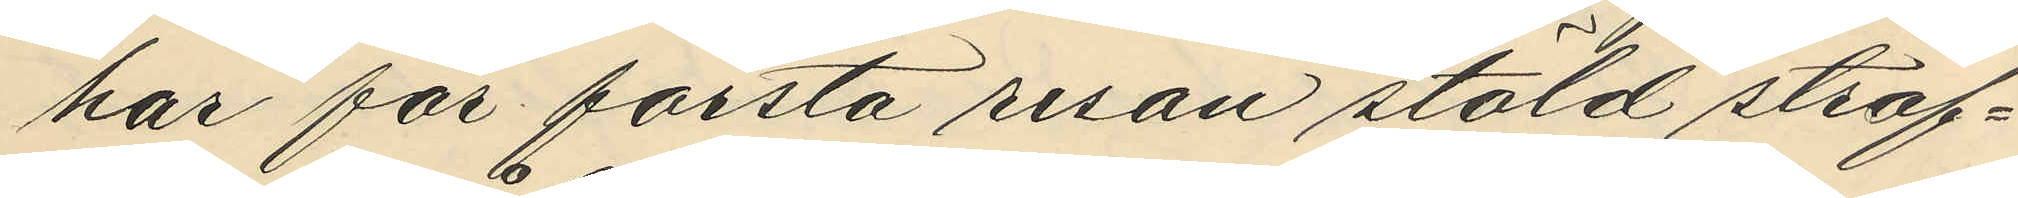har för första resan stöld straf¬
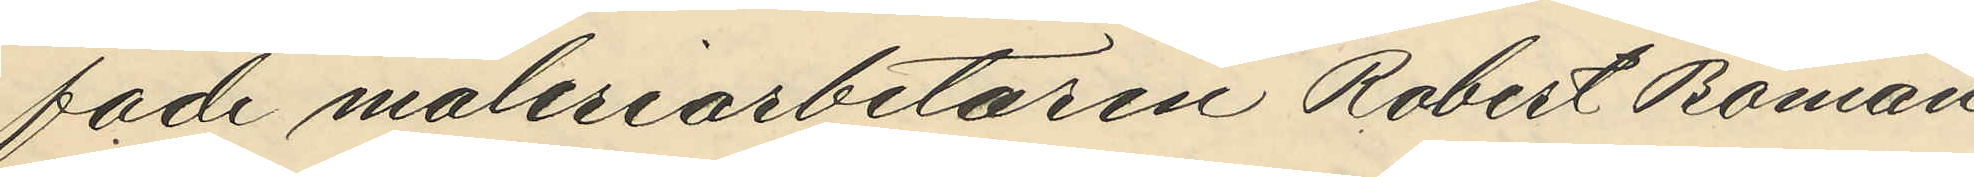fade måleriarbetaren Robert Boman
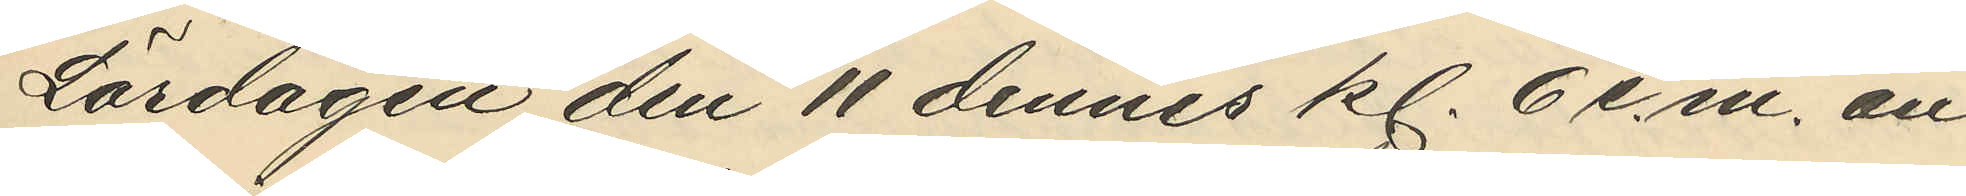Lördagen den 11 dennes kl. 6 e.m. an¬
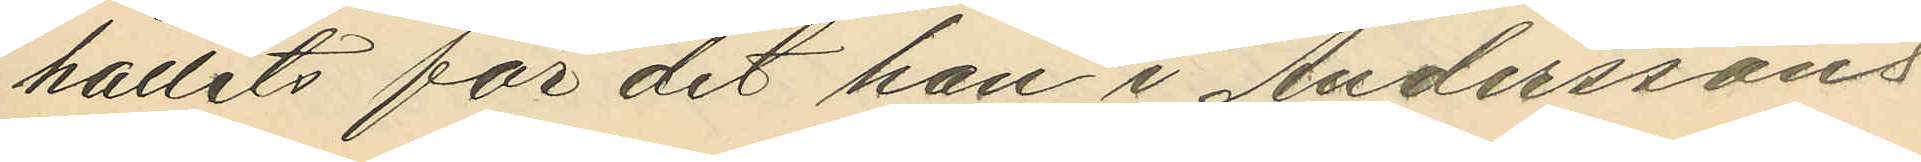hållits för det han i Anderssons
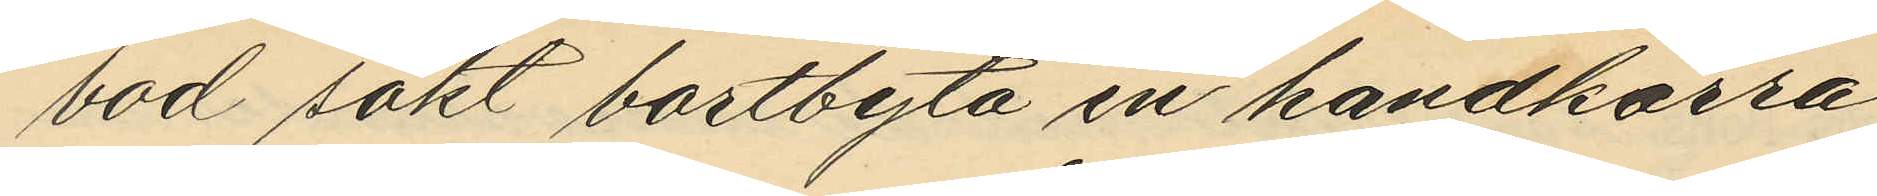bod sökt bortbyta en handkärra
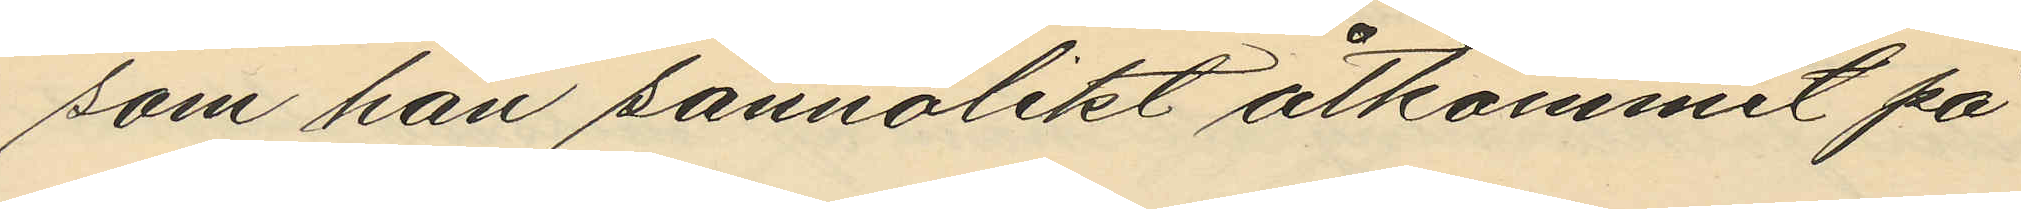som han sannolikt åtkommit på
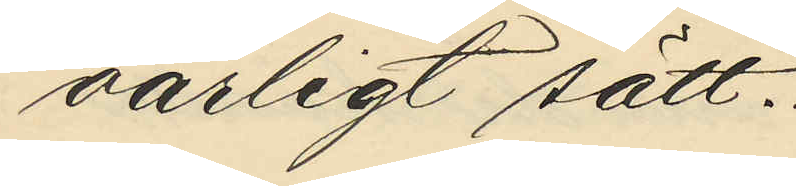oärligt sätt.
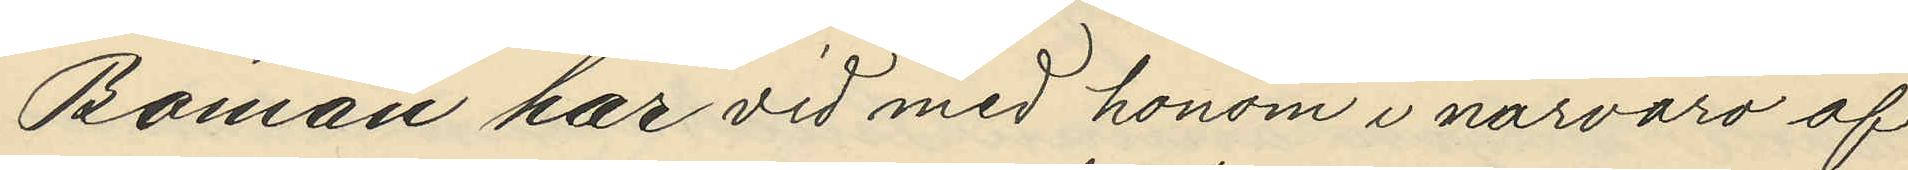Boman har vid med honom i närvaro af
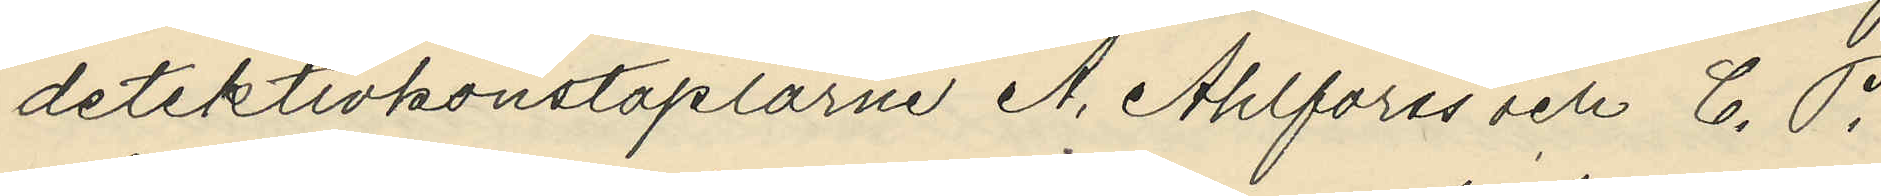detektivkonstaplarne A. Ahlforss och C. P.
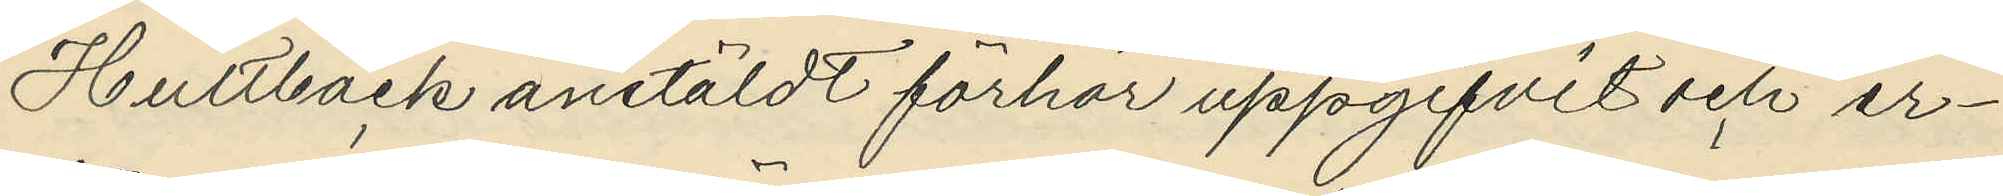Hultbäck anstäldt förhör uppgifvit och er¬
